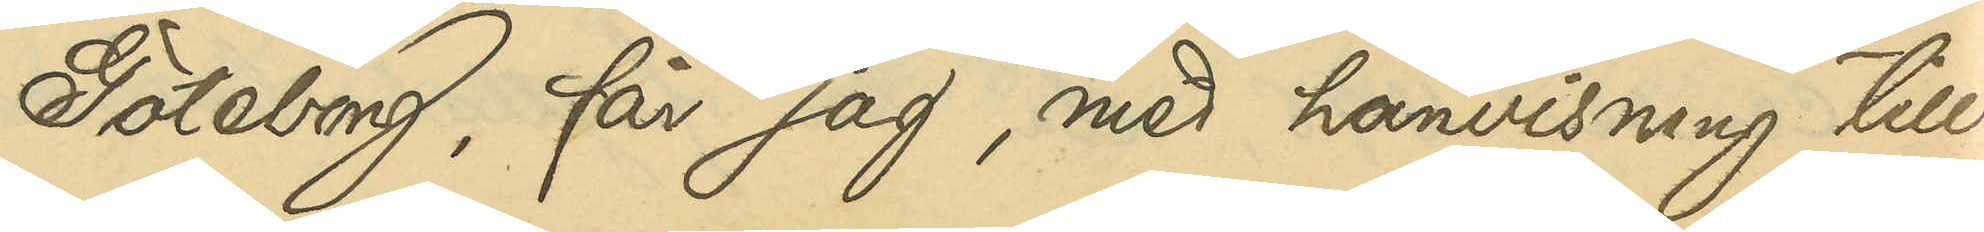Göteborg, får jag, med hänvisning till
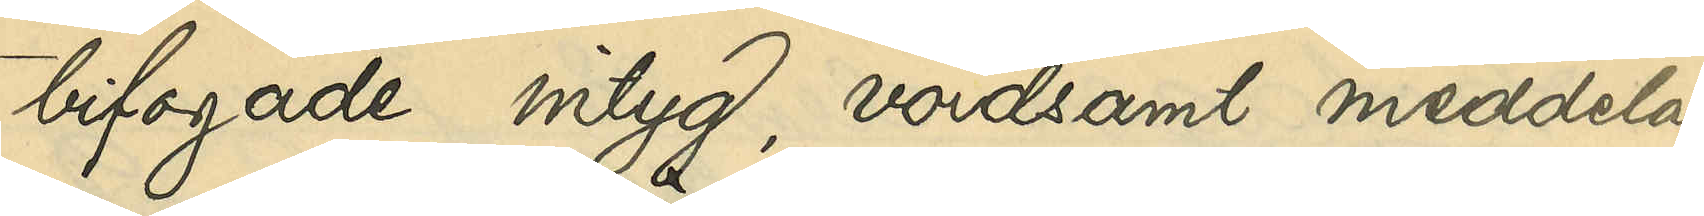bifogade intyg, vördsamt meddela,
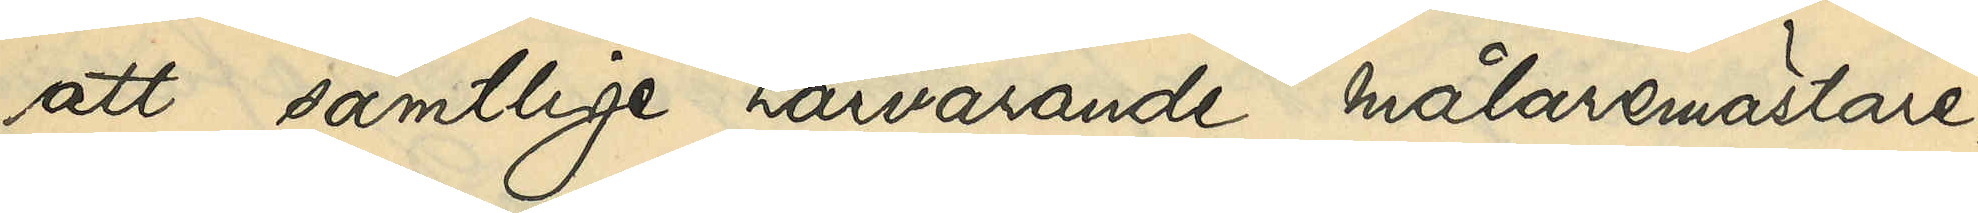att samtlige härvarande målarmästare,
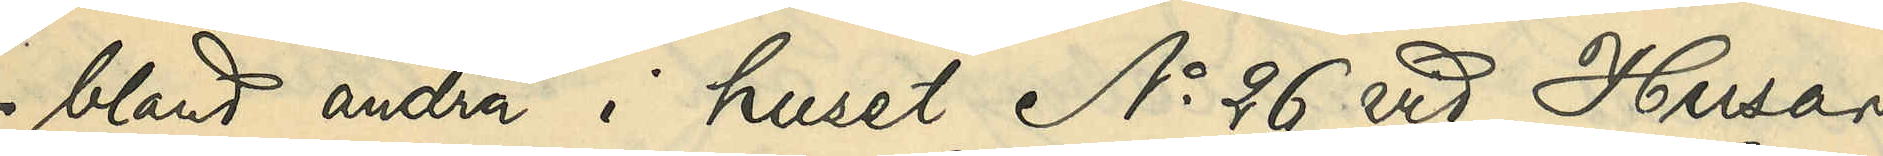 - bland andra i huset No 26 vid Husar¬
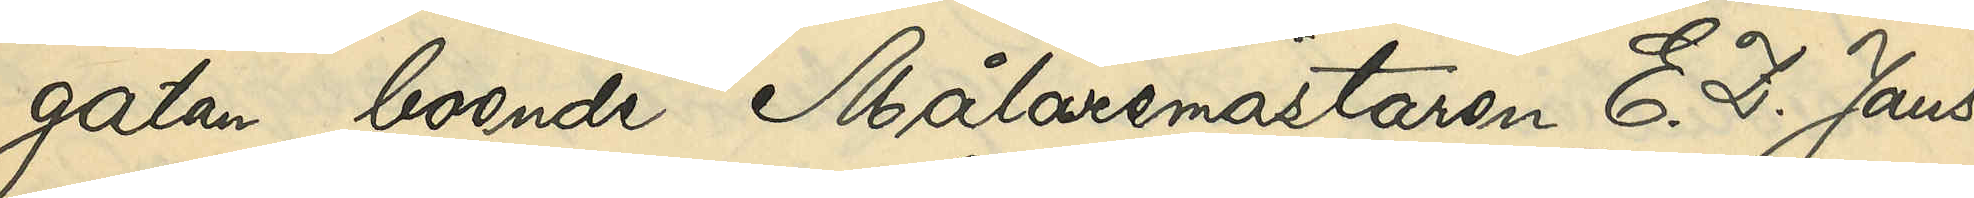gatan boende Målaremästaren E. D. Jans¬
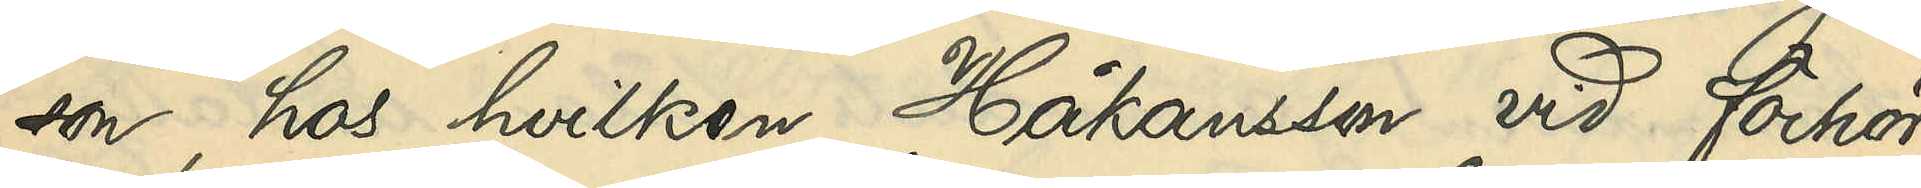son, hos hvilken Håkansson vid förhör
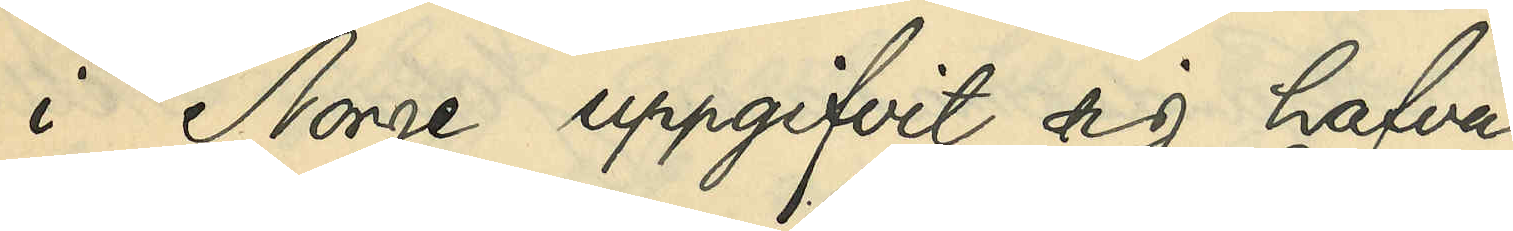i Norge uppgifvit sig hafva
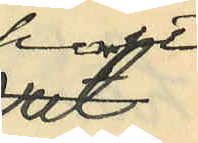haft
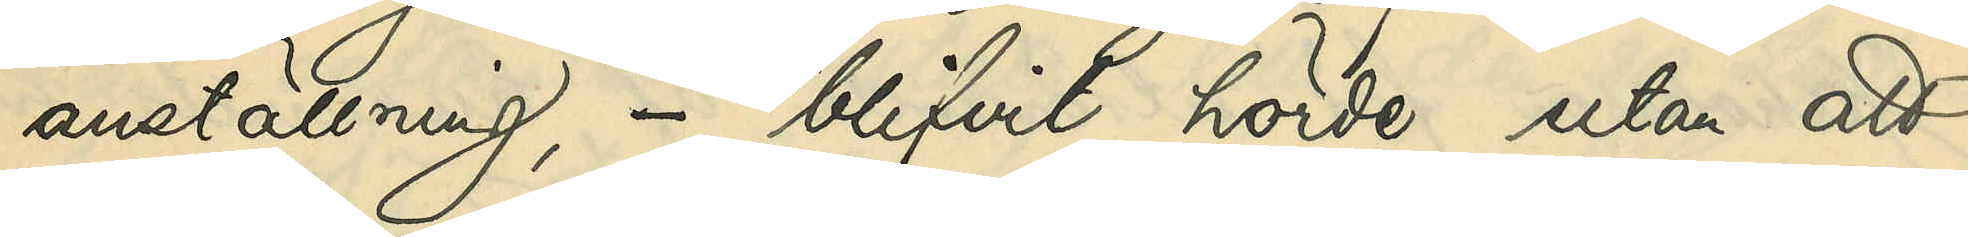anställning, - blifvit hörde utan att
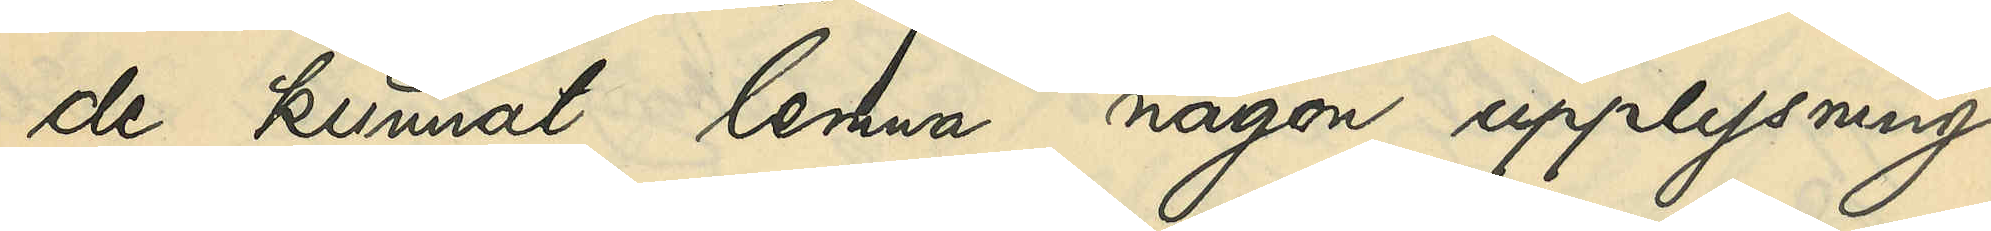de kunnat lemna någon upplysning
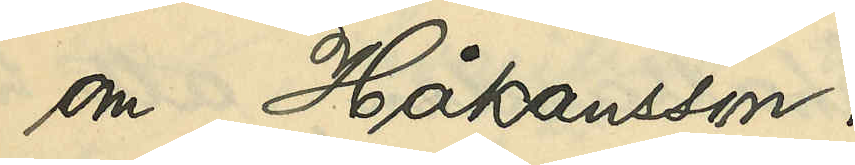om Håkansson.
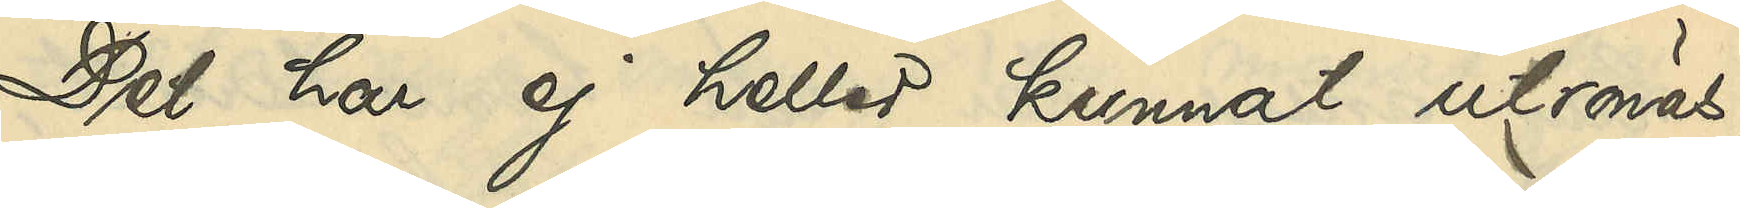Det har ej heller kunnat utrönas,
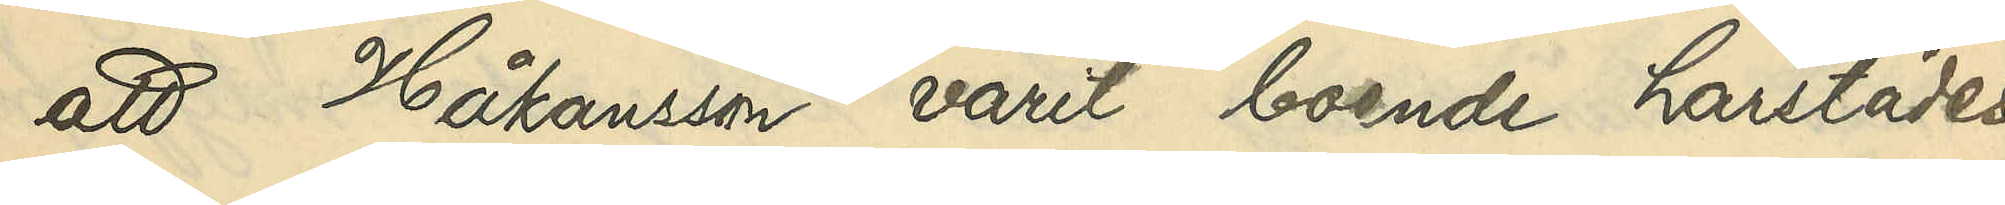att Håkansson varit boende härstädes.
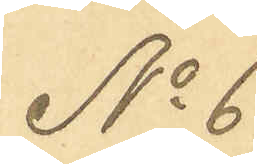No 6
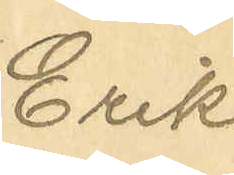Erik
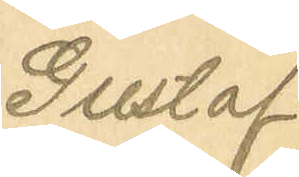Gustaf
